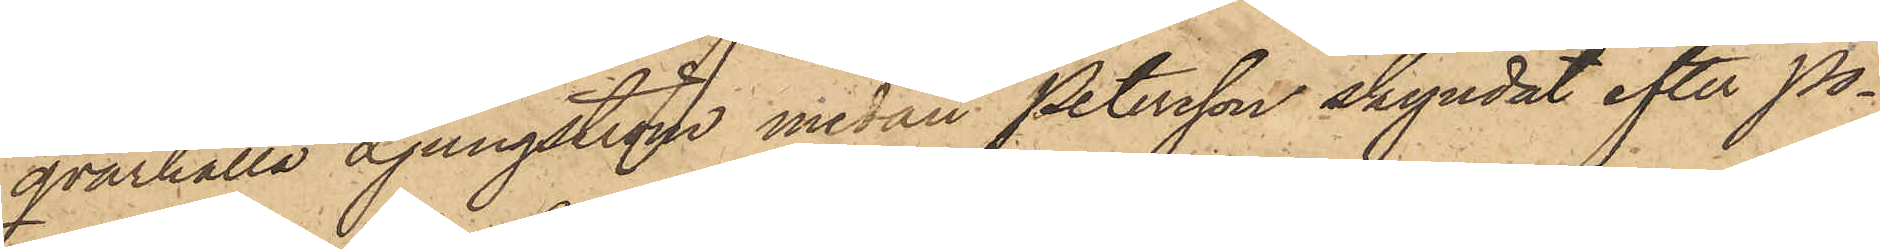qvarhålla Ljungström medan Petersson skyndat efter po¬
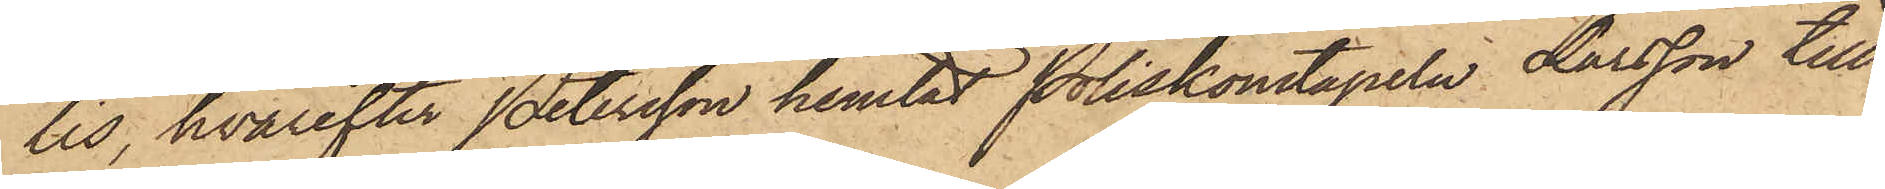lis, hvarefter Petersson hemtat Poliskonstapeln Larsson till
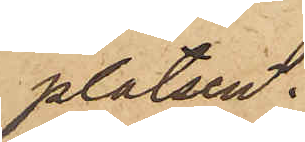platsen.
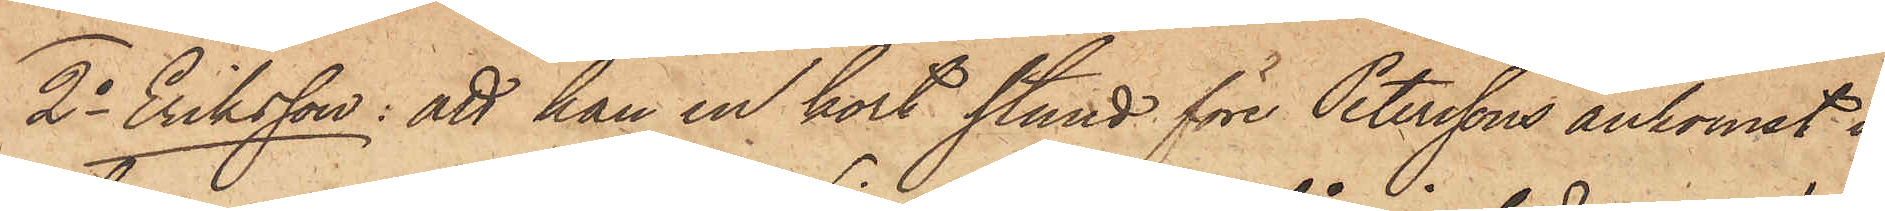2o Eriksson: att han en kort stund före Peterssons ankomst i
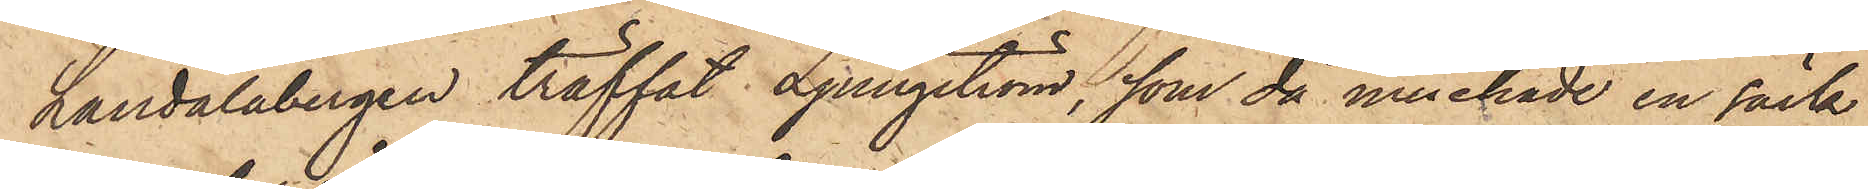Landalabergen träffat Ljungström, som då innehade en säck
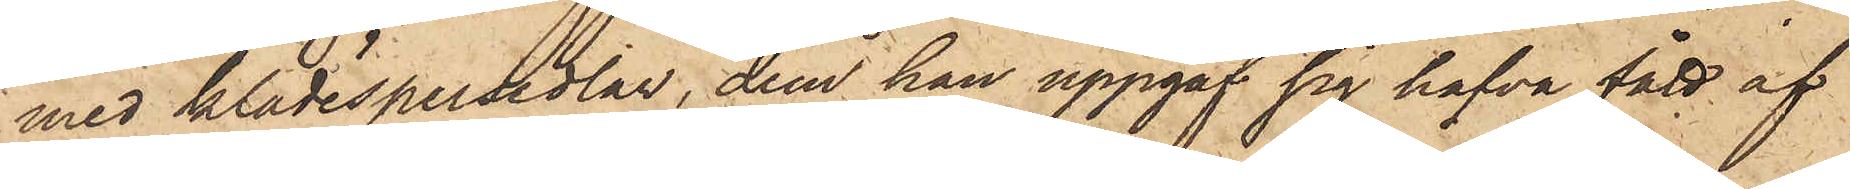med klädespersedlar, dem han uppgaf sig hafva fått af
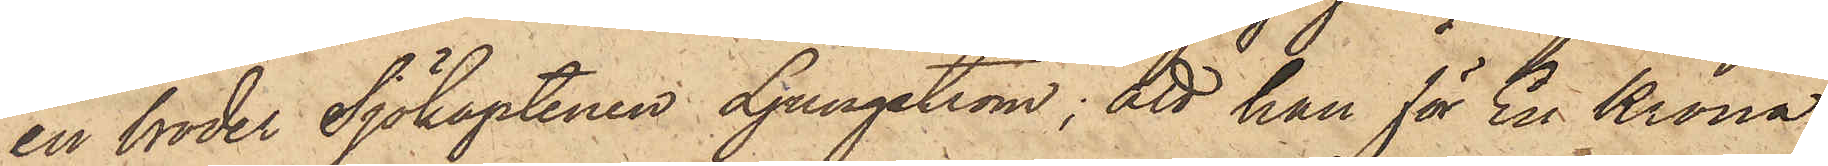en broder Sjökaptenen Ljungström; att han för En Krona
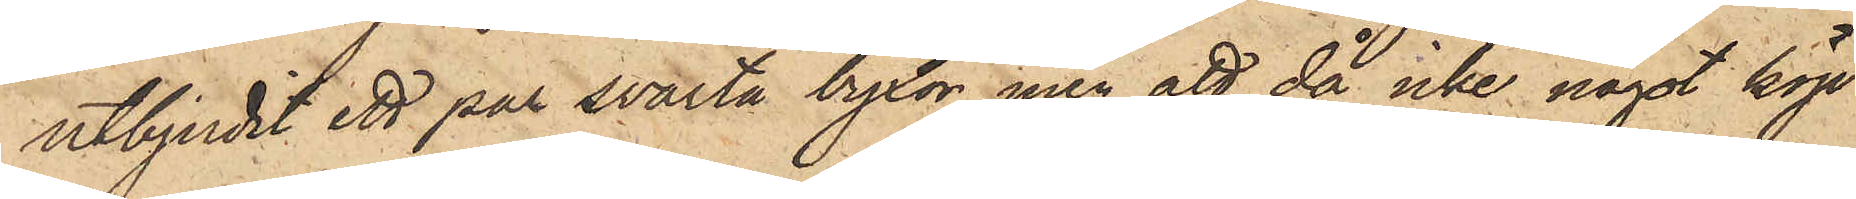utbjudit ett par svarta byxor, men att då icke något köp
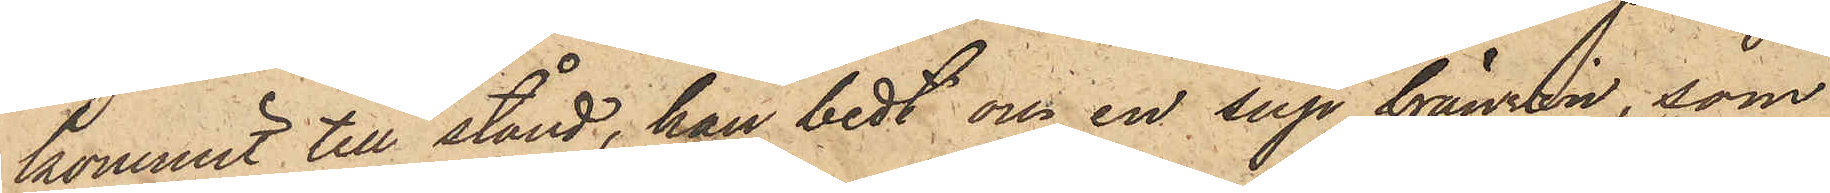kommit till stånd, han bedt om en sup bränvin, som
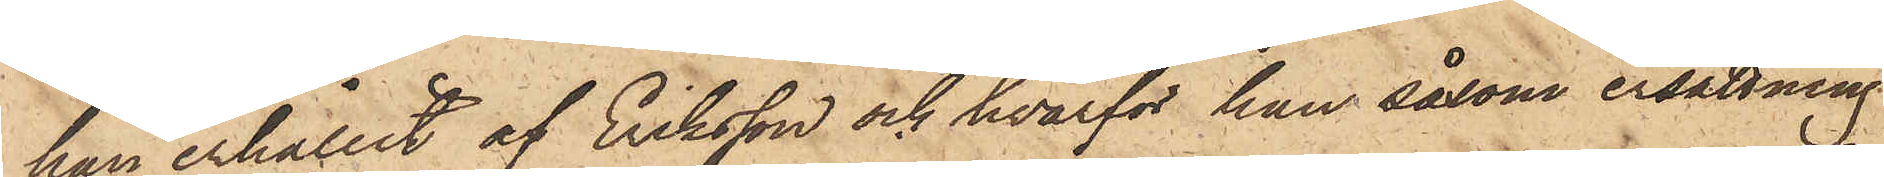han erhållit af Eriksson och hvarför han såsom ersättning
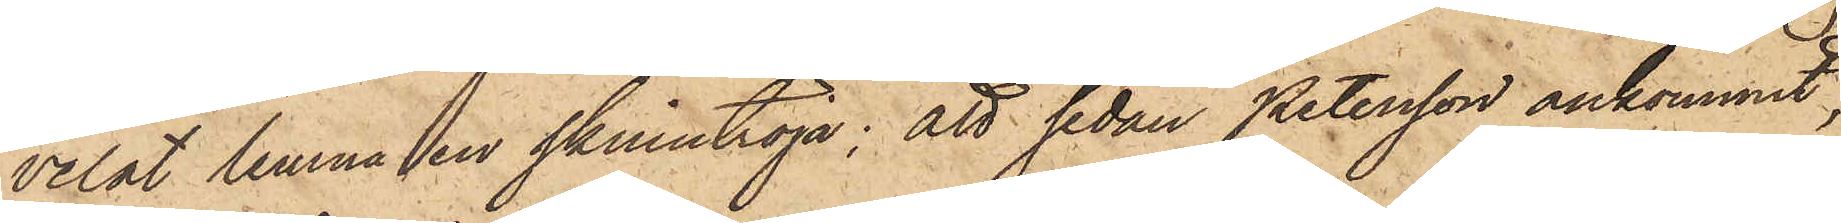velat lemna en skinntröja; att sedan Petersson ankommit,
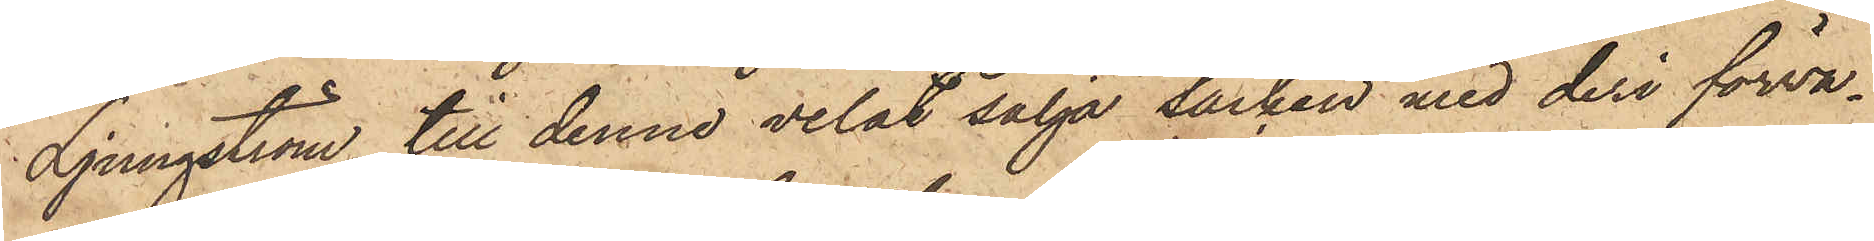Ljungström till denne velat sälja säcken med deri förva¬
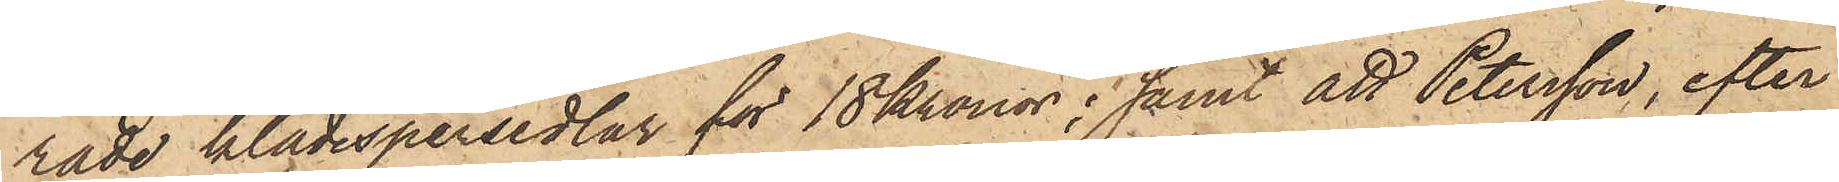rade klädespersedlar för 18 Kronor; samt att Petersson, efter
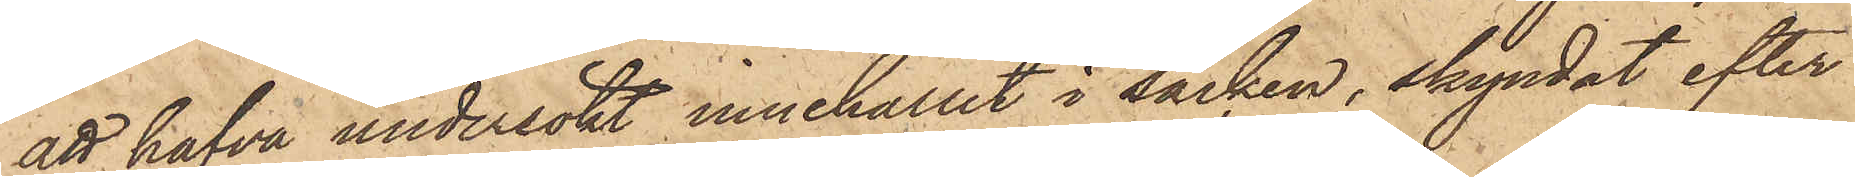att hafva undersökt innehållet i säcken, skyndat efter
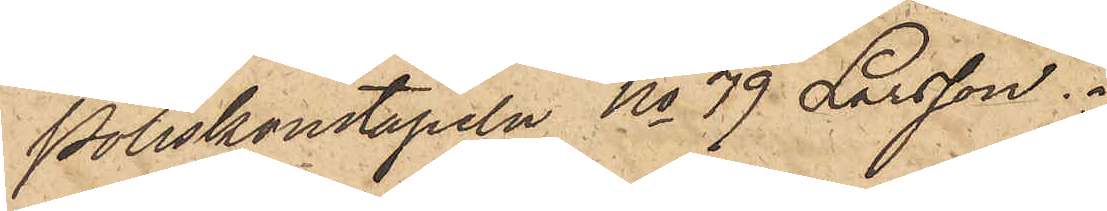Poliskonstapeln No 79 Larsson.
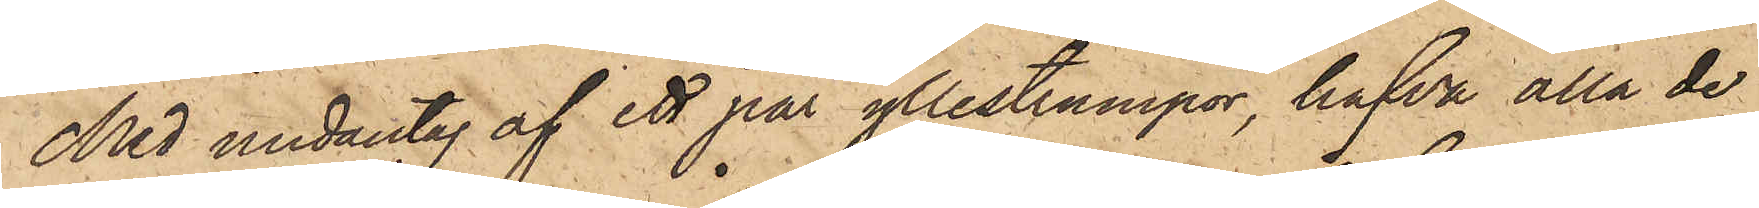Med undantag af ett par yllestrumpor, hafva alla de
